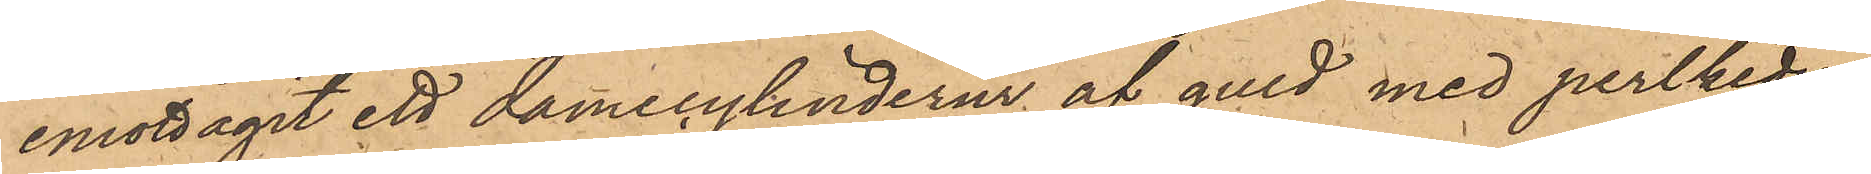emottagit ett damecylinderur af guld med perlkedja
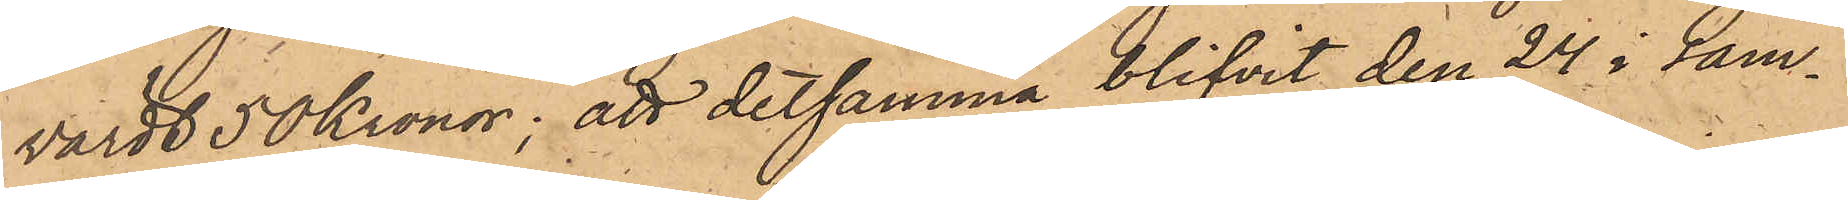värdt 50 Kronor; att detsamma blifvit den 24 i sam¬
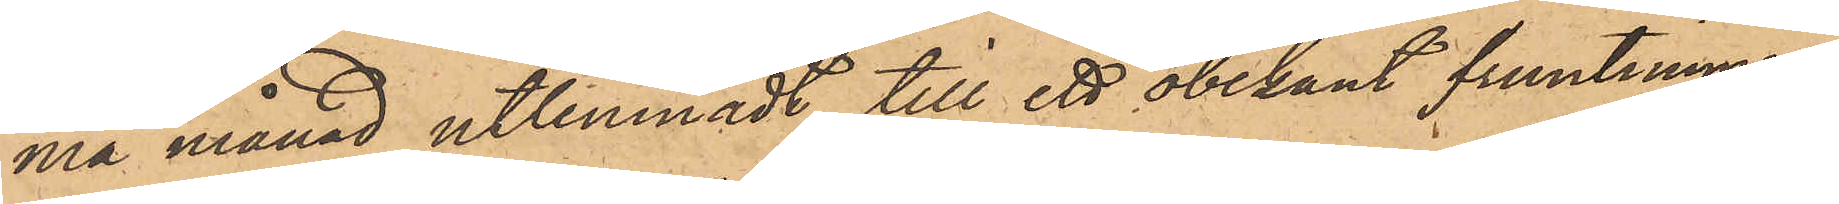ma månad utlemnadt till ett obekant fruntimmer,
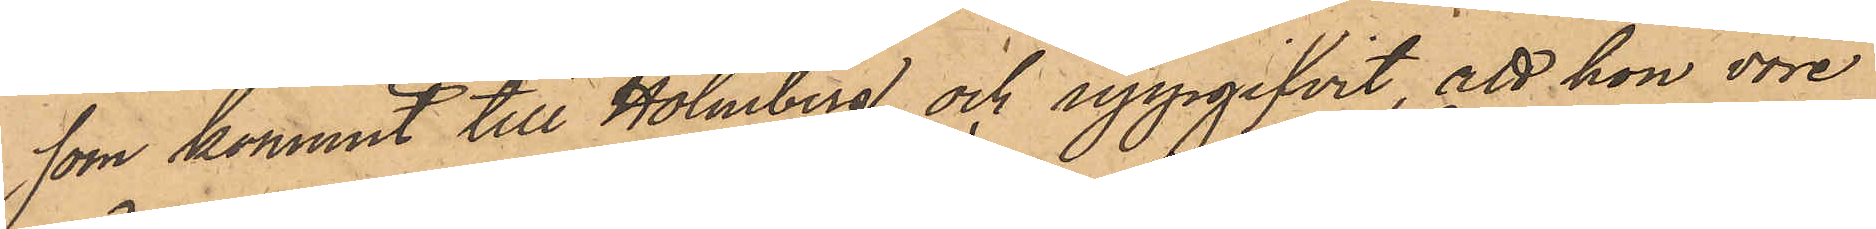som kommit till Holmberg och uppgifvit, att hon vore
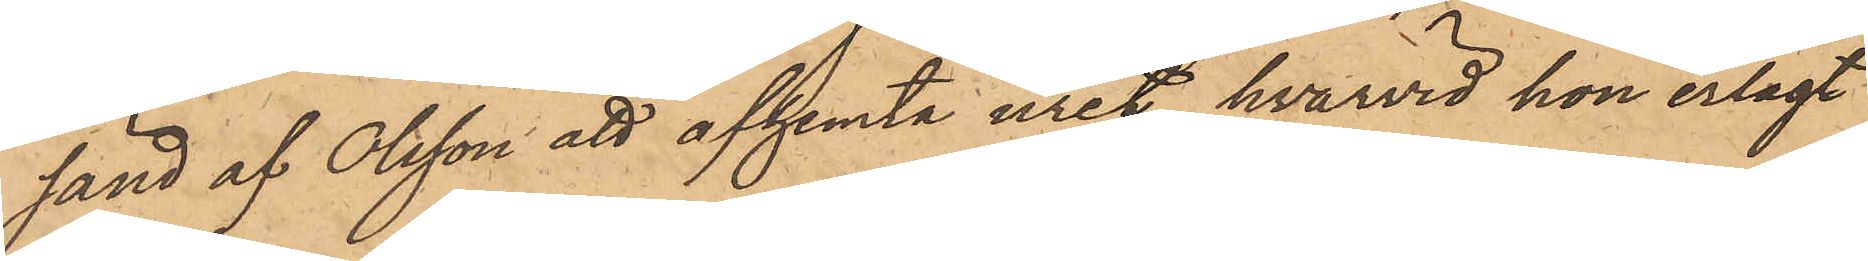sänd af Olsson att afhemta uret, hvarvid hon erlagt
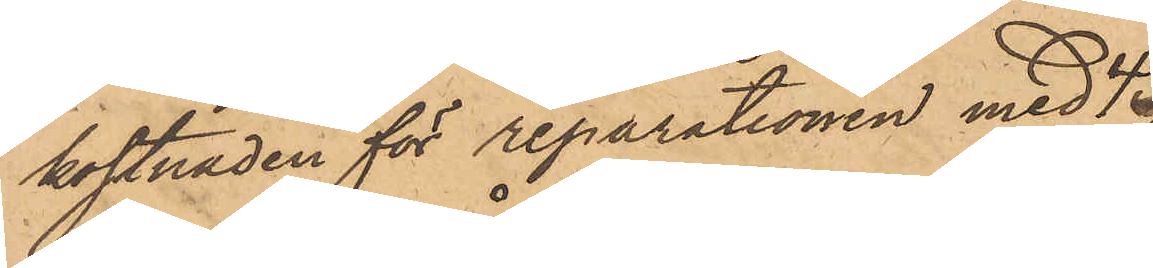kostnaden för reparationen med 4
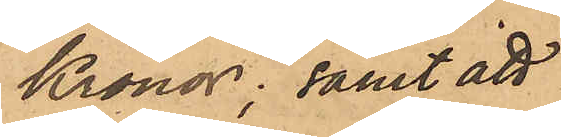Kronor; samt att
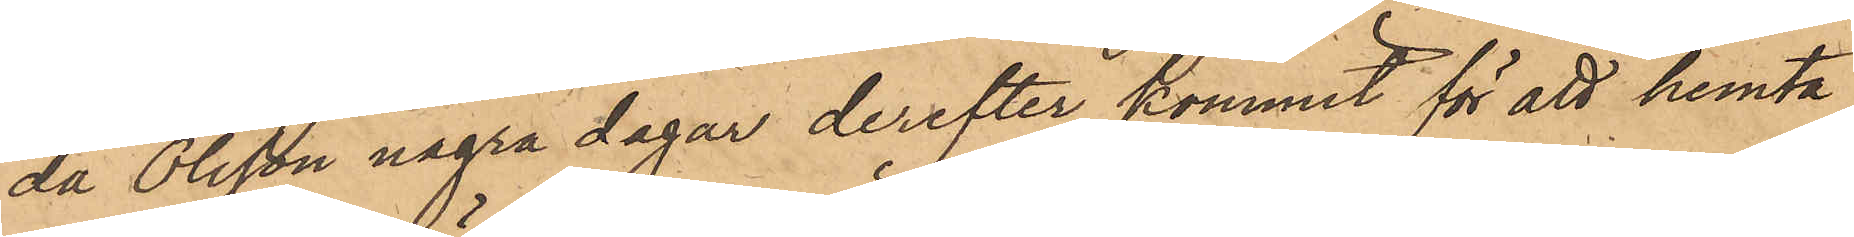då Olsson några dagar derefter kommit för att hemta
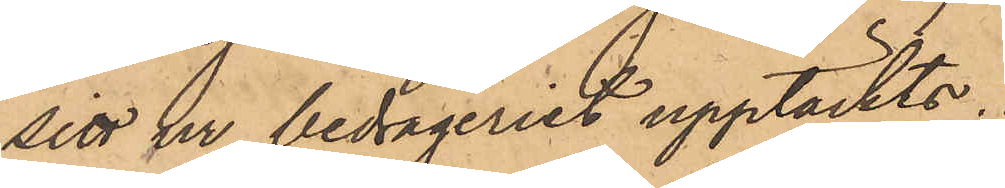sitt ur, bedrägeriet upptäckts.
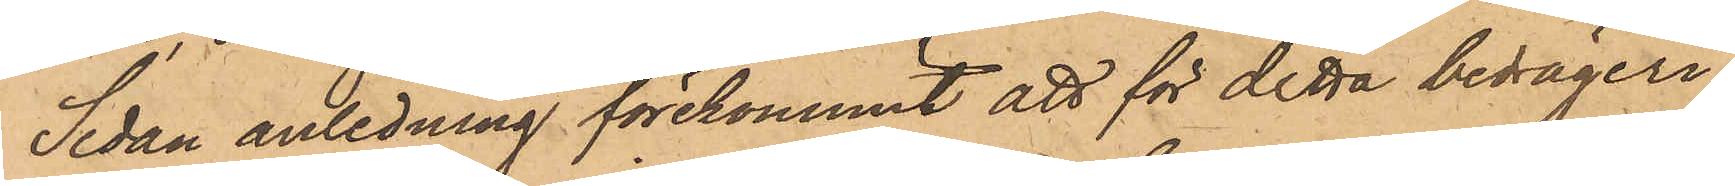Sedan anledning förekommit att för detta bedrägeri
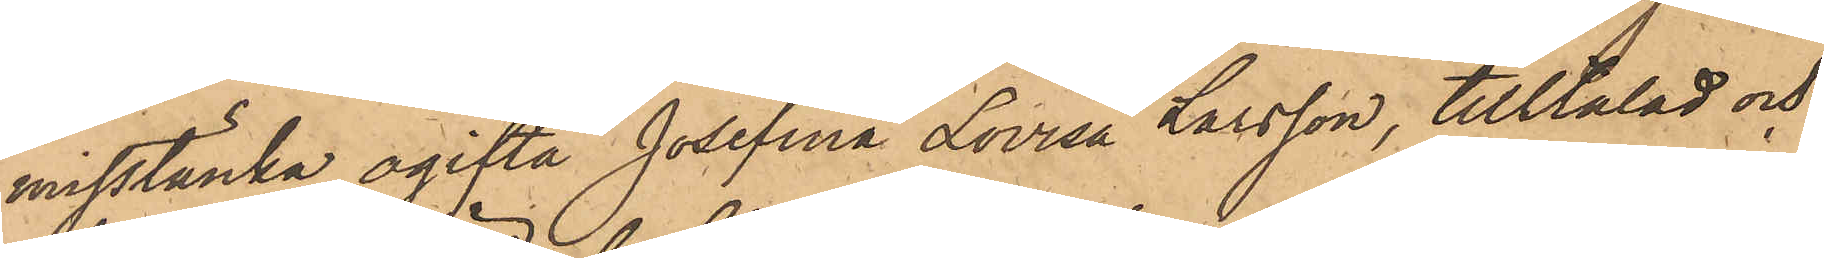misstänka ogifta Josefina Lovisa Larsson, tilltalad och
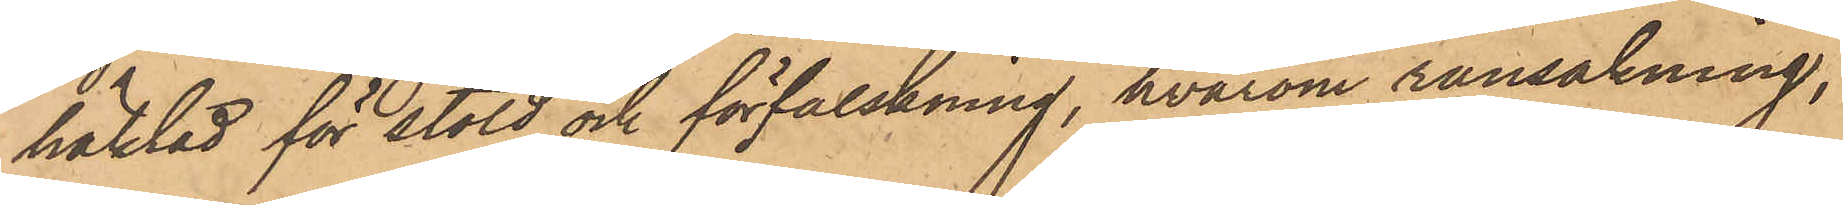häktad för stöld och förfalskning, hvarom ransakning,
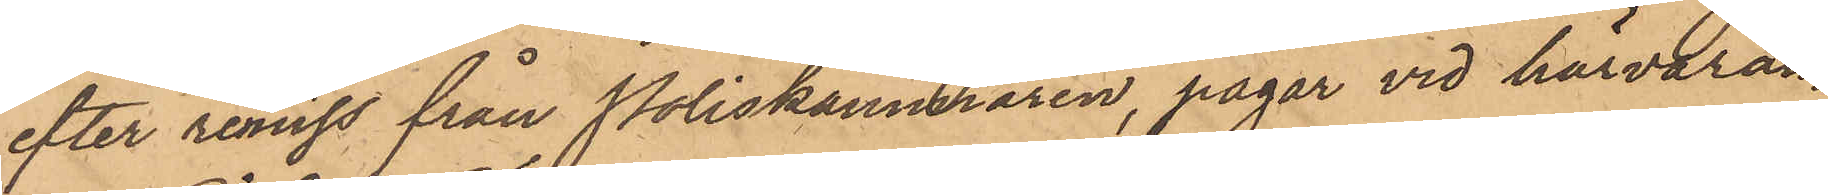efter remiss från Poliskammaren, pågar vid härvaran¬
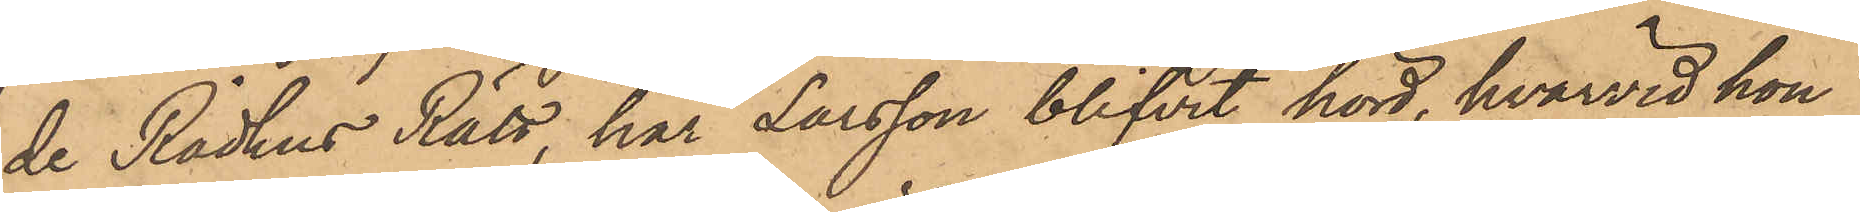de Rådhus Rätt, har Larsson blifvit hörd, hvarvid hon
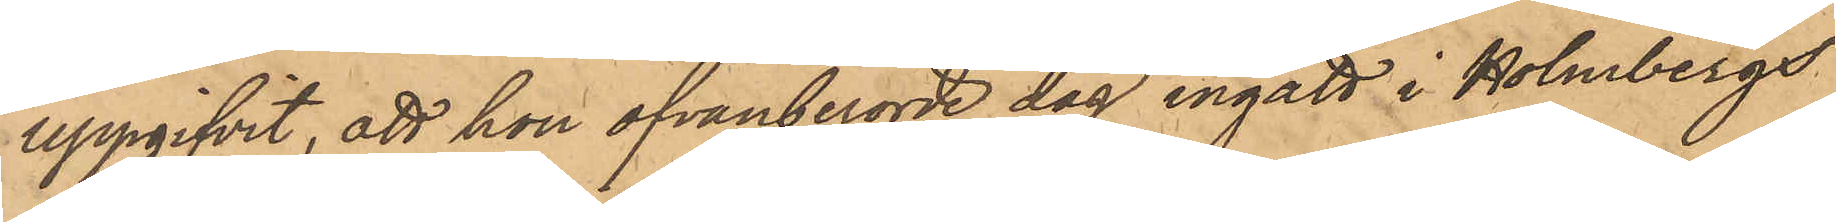uppgifvit, att hon ofvanberörde dag ingått i Holmbergs
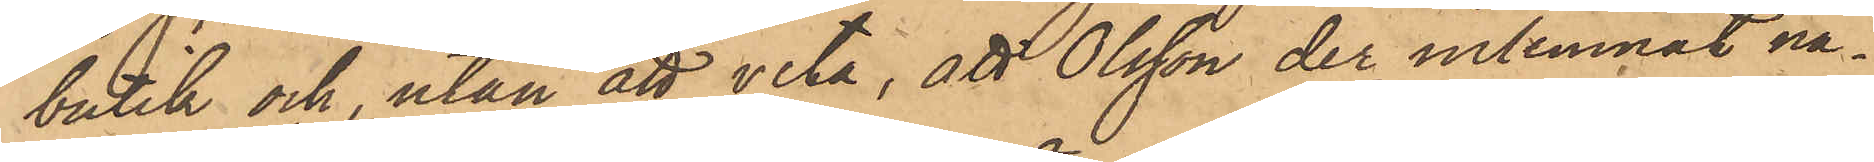butik och, utan att veta, att Olsson der inlemnat nå¬
